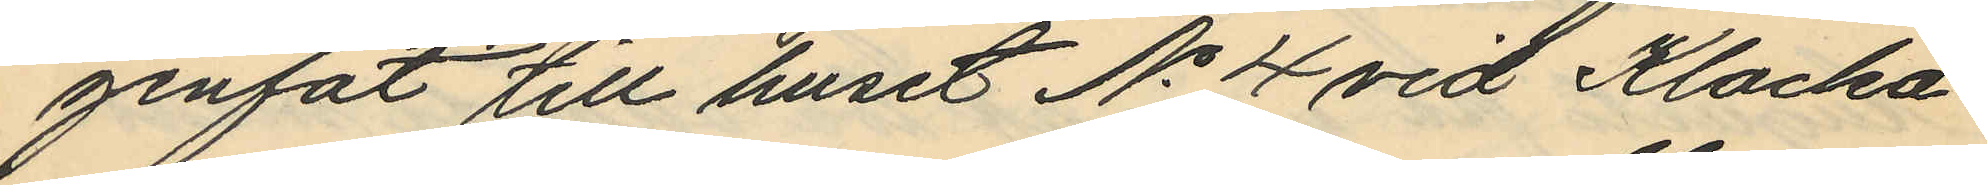genfat till huset No 4 vid Klocka¬
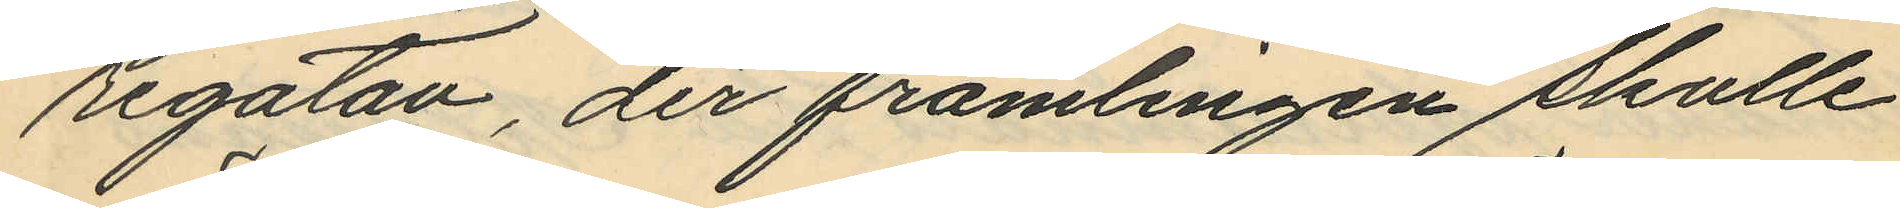regatan, der främlingen skulle
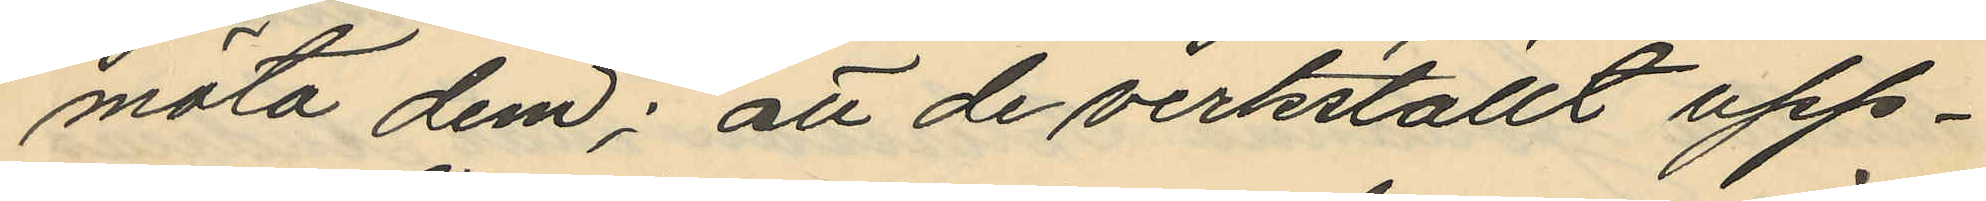möta dem; att de verkställt upp¬
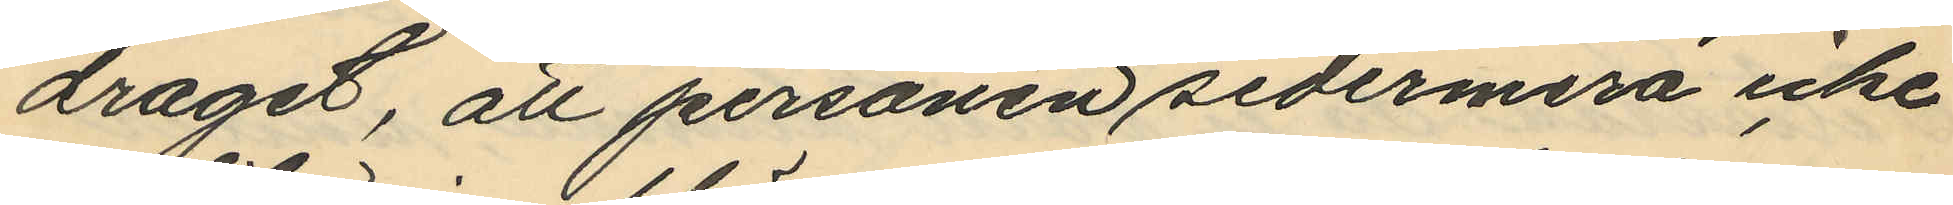draget, att personen sedermera icke
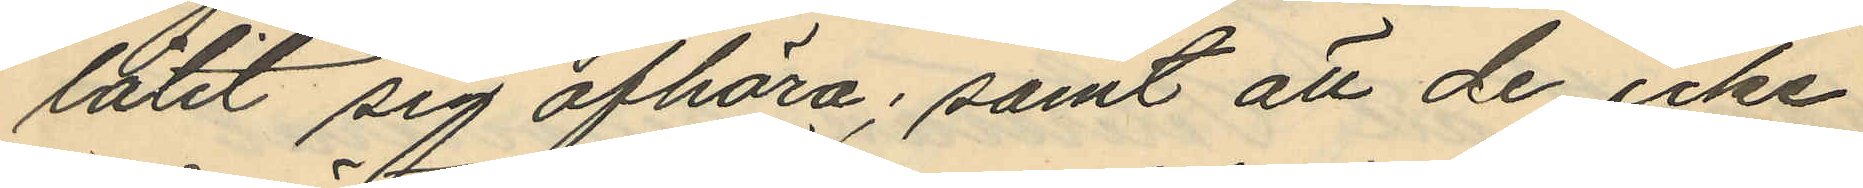låtit sig afhöra; samt att de icke
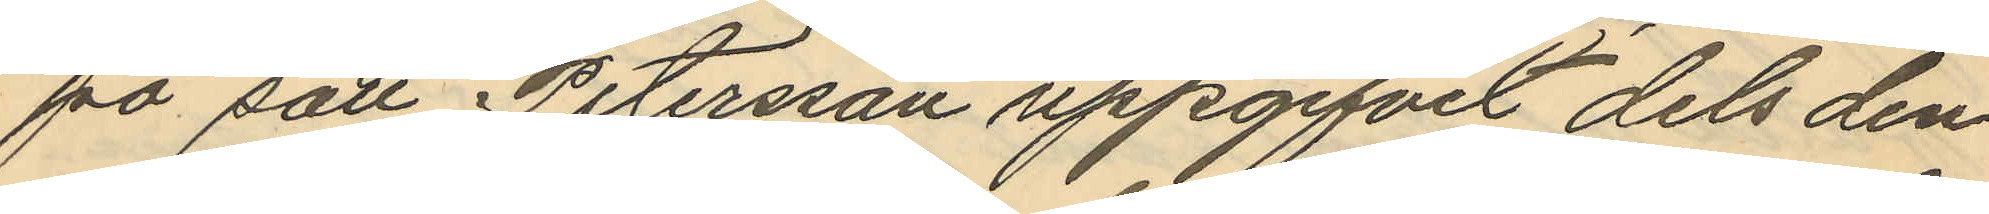på sätt Petersson uppgifvit dels den
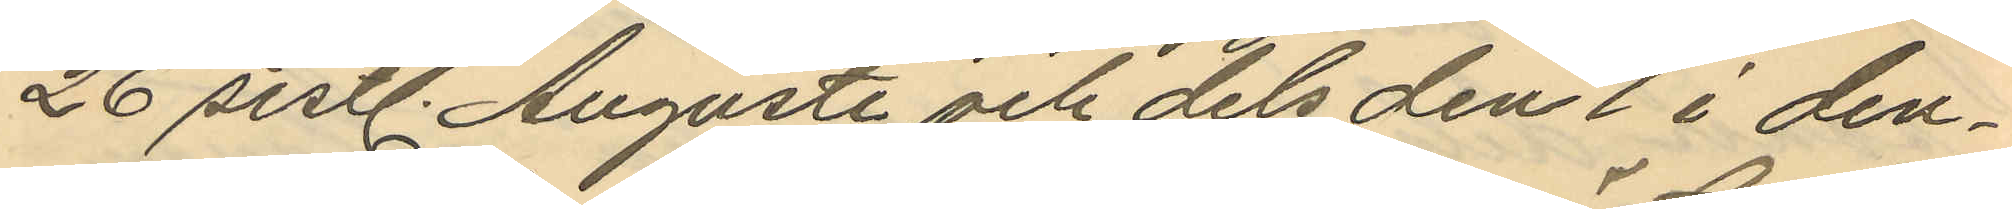26 sistl. Augusti och dels den 1 i den¬
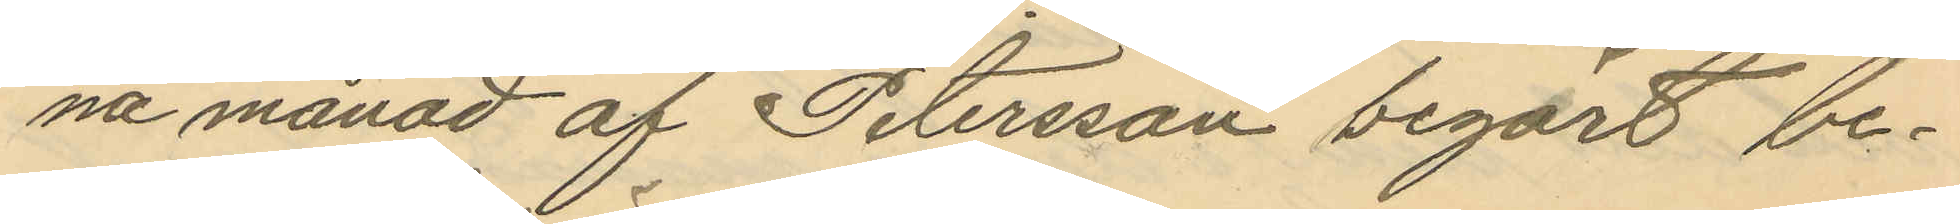na månad af Petersson begärt be¬
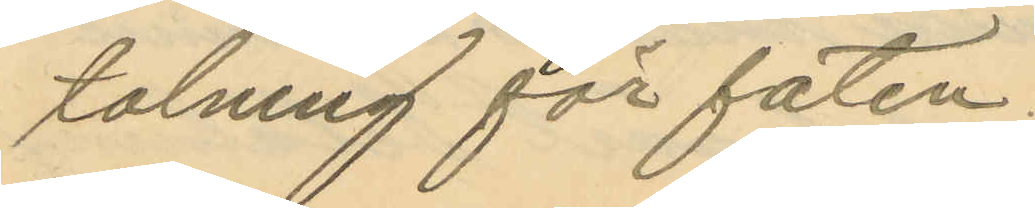talning för faten.
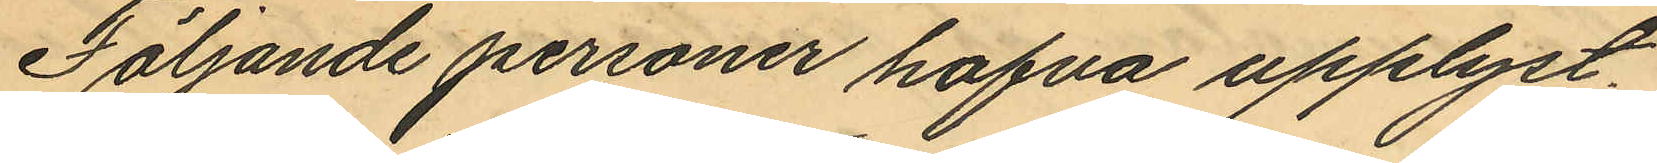Följande personer hafva upplyst.
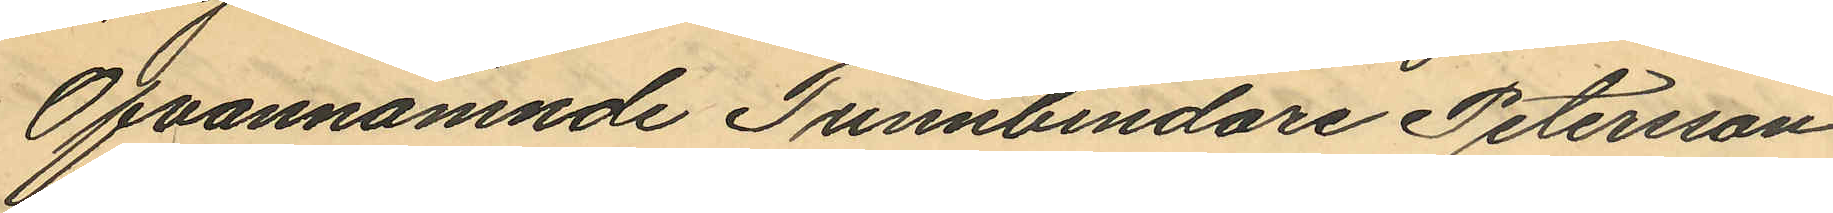Ofvannämnde Tunnbindare Petersson
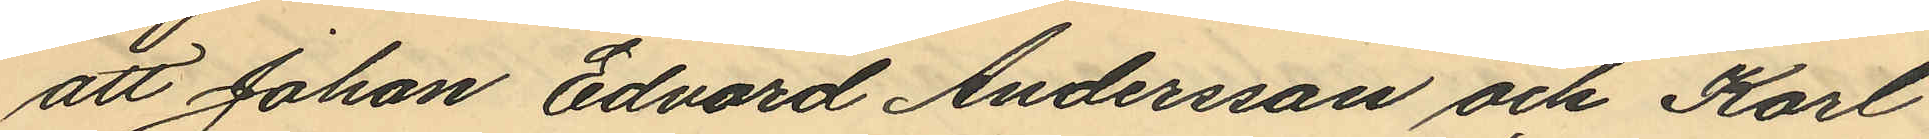att Johan Edvard Andersson och Karl
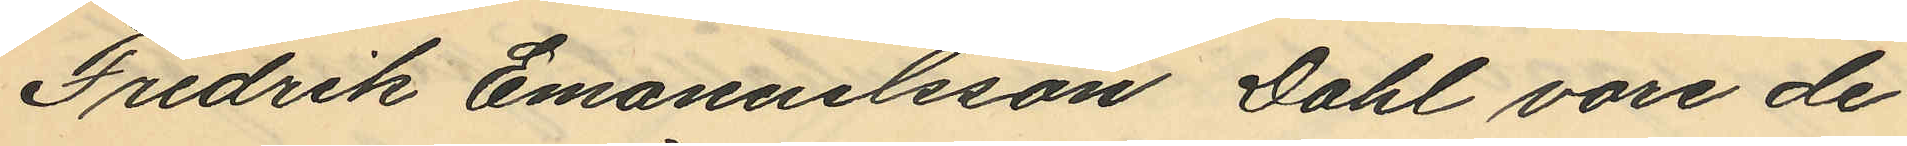Fredrik Emanuelsson Dahl vore de
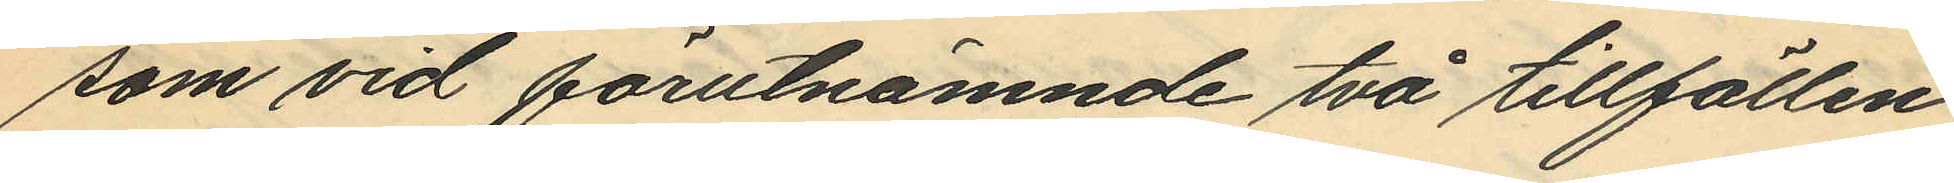som vid förutnämnde två tillfällen
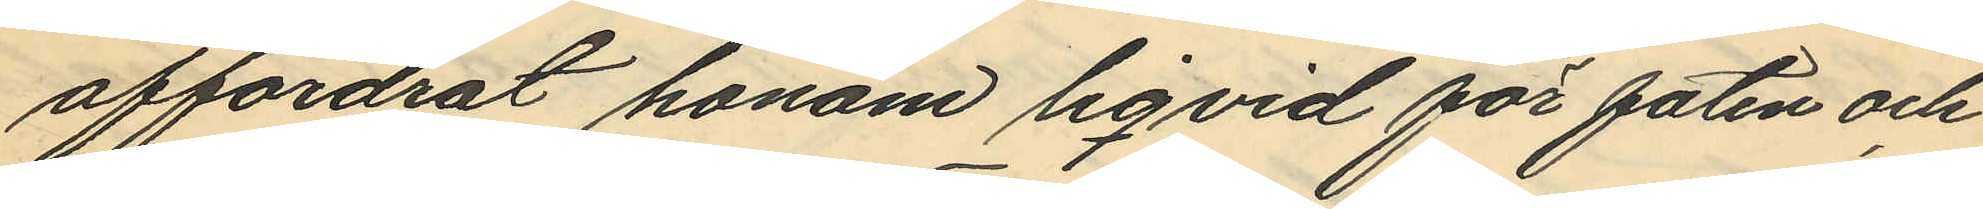affordrat honom liqvid för faten och
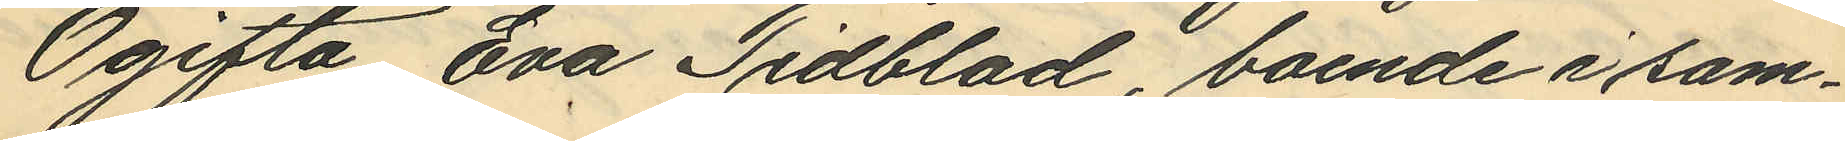Ogifta Eva Tidblad, boende i sam¬
